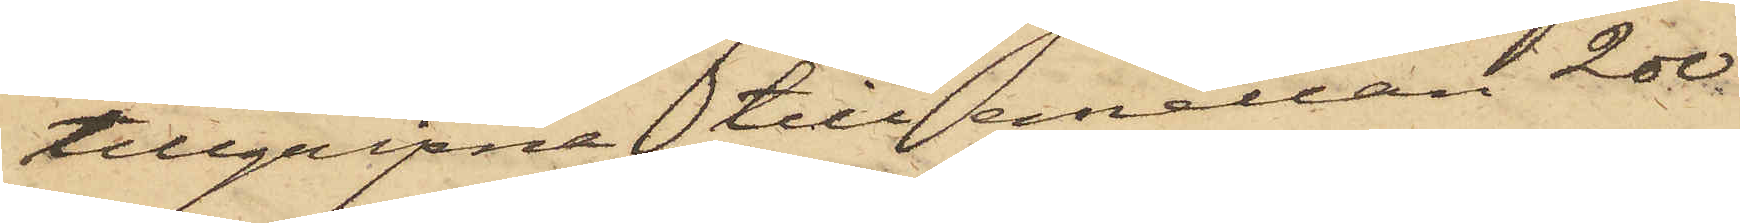tillgripne till emellan 200
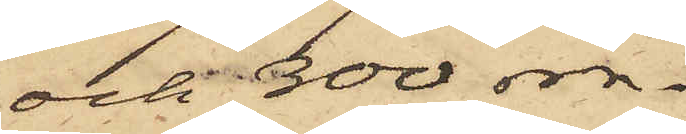och 300 rdr.
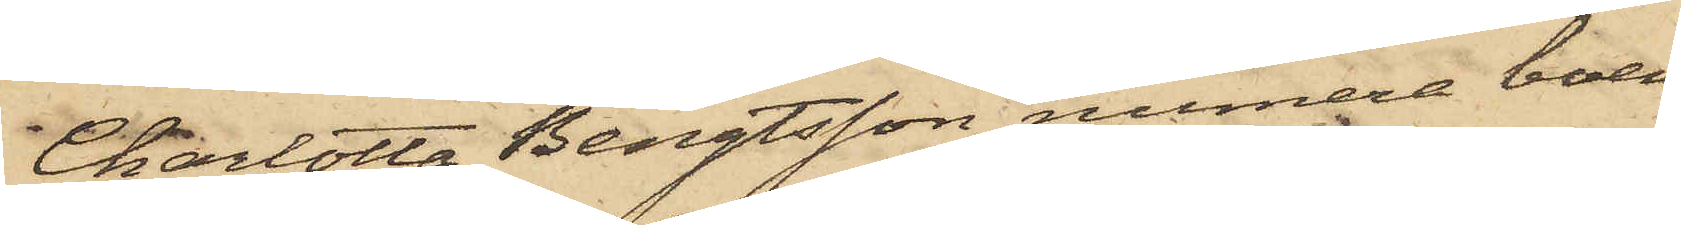Charlotta Bengtsson, numera boen¬
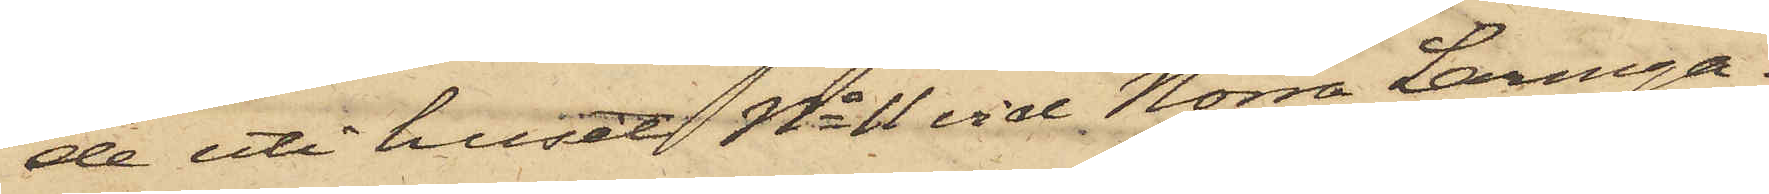de uti huset No 11 vid Norra Larmga¬
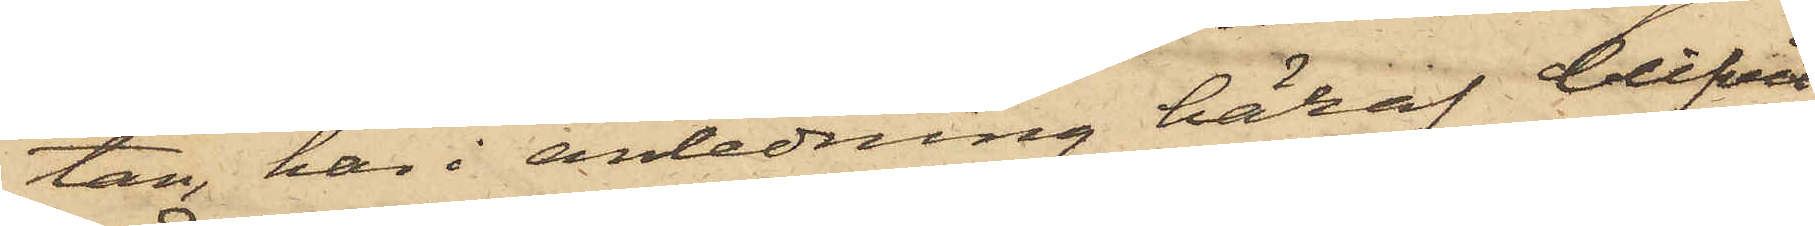tan, har i anledning häraf blifvit
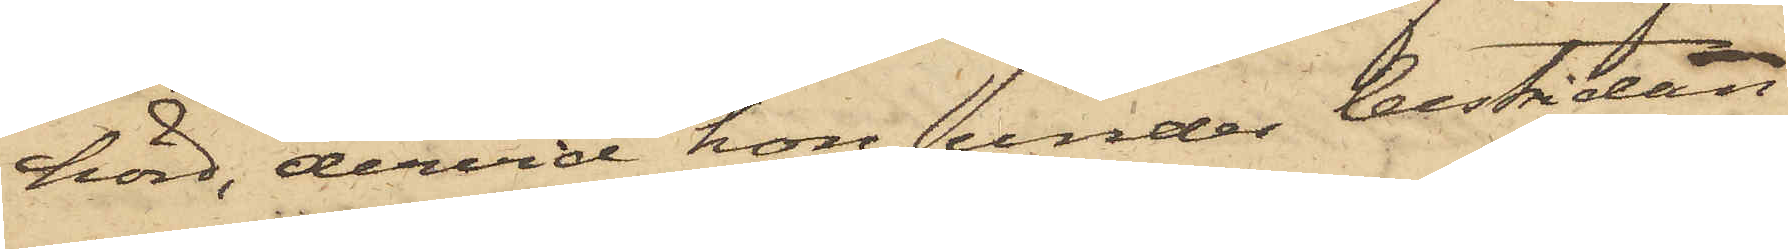hörd, dervid hon under bestridan¬
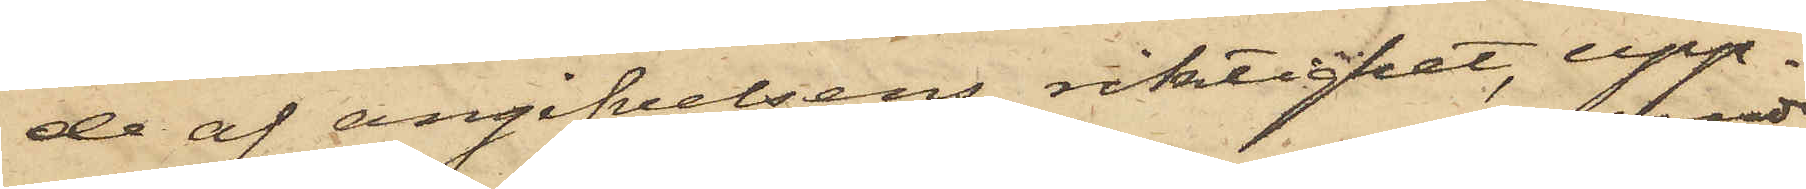de af angifvelsens riktighet, upp¬
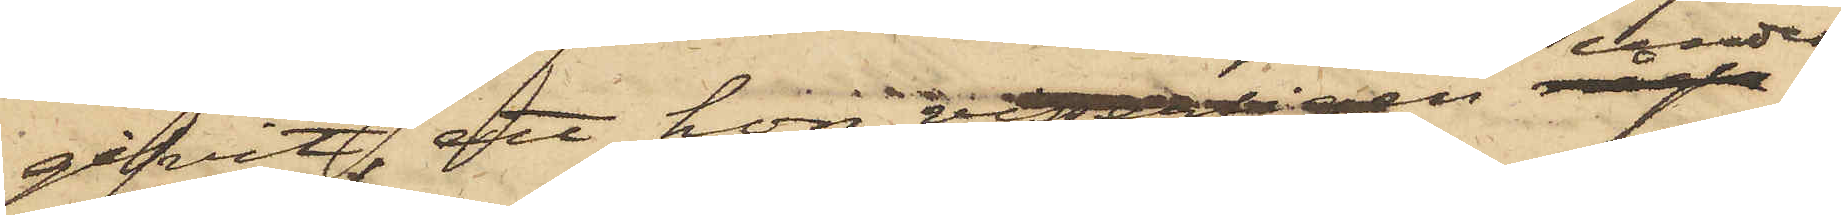gifvit, att hon visserligen under¬
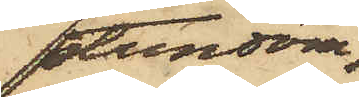stundom
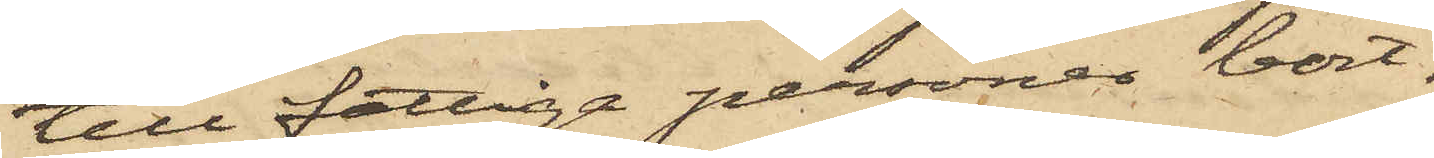till fattiga personer bort¬
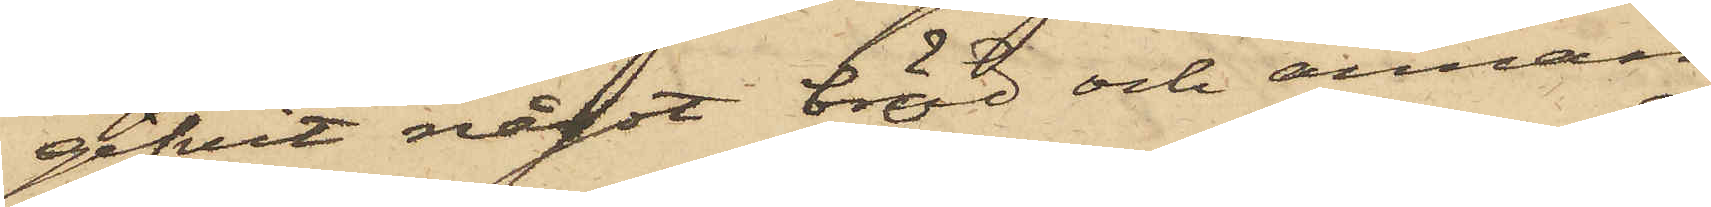gifvit något bröd och annan
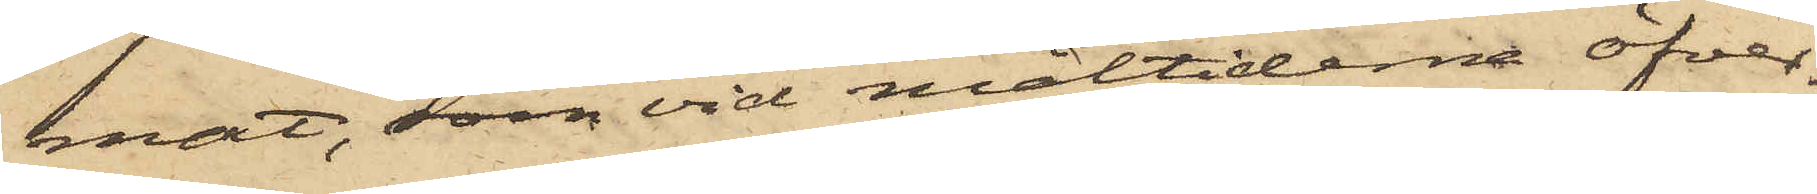mat, som vid måltiderna öfver¬
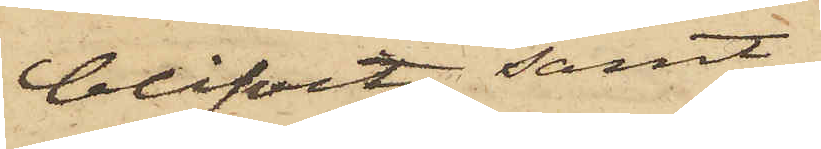blifvit, samt
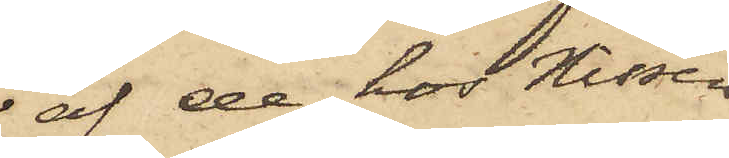af de hos Nissen
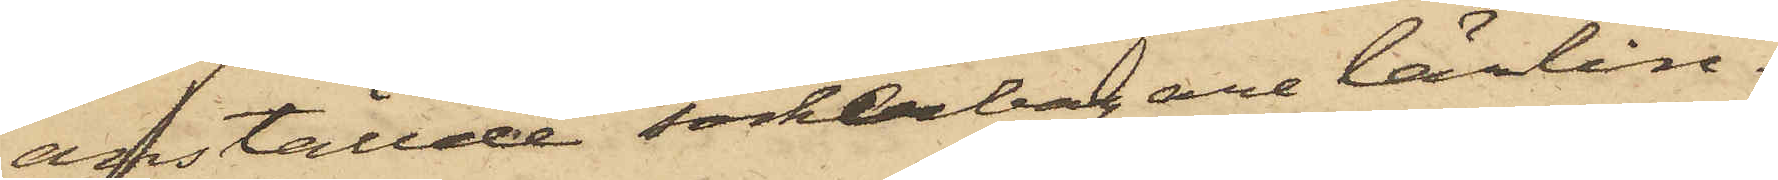anställde sockerbagarelärlin¬
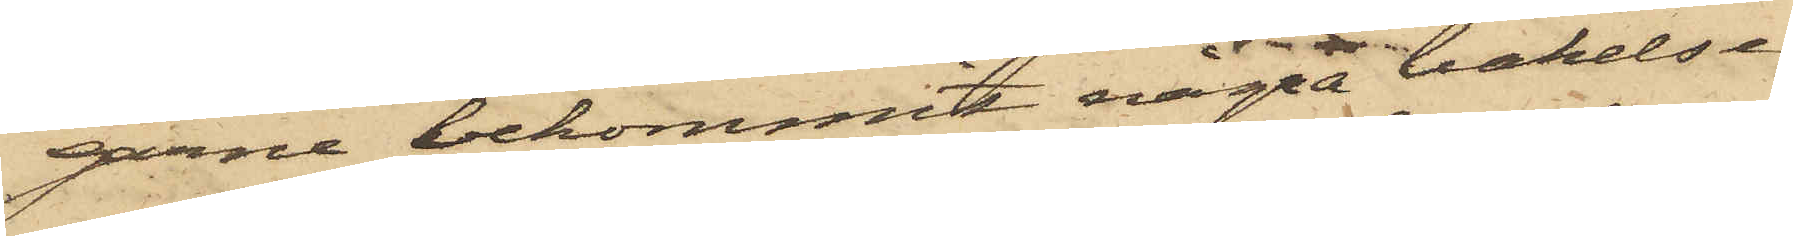garne bekommit några bakelser
